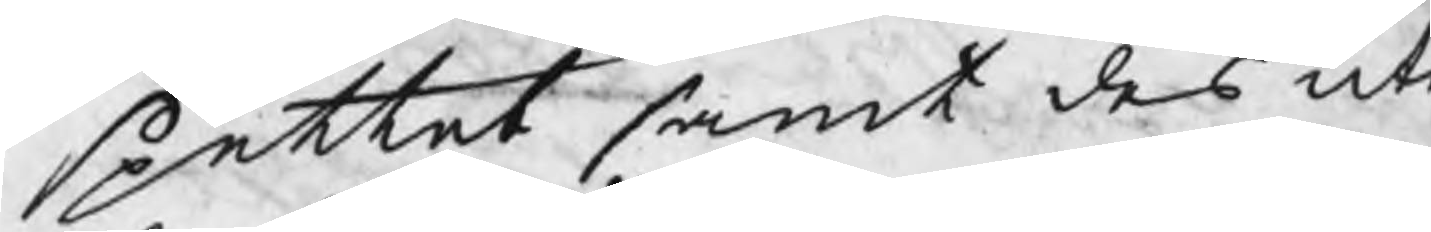spettet samt des ut
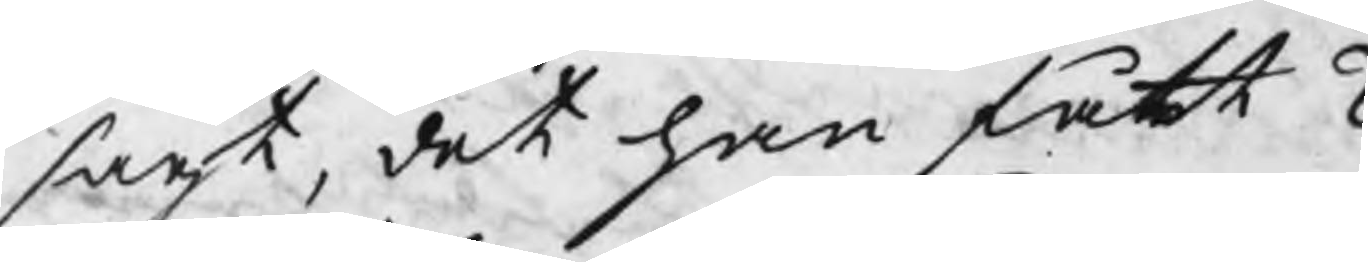sagt, det han fått 2
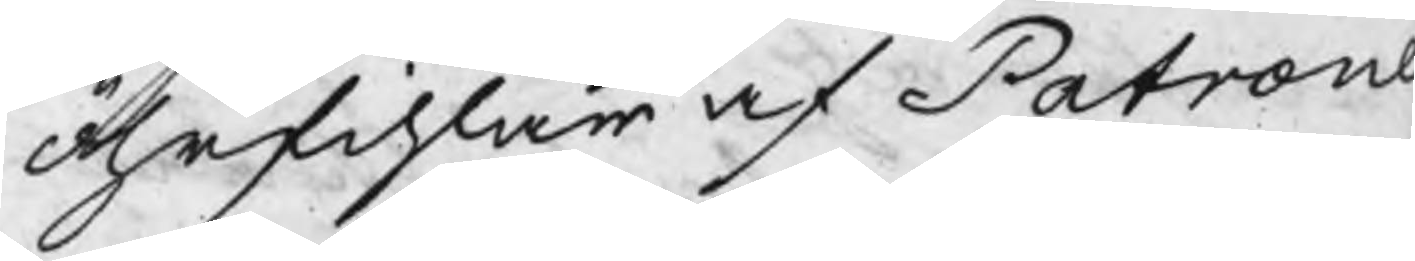öhrfihlar af Patrone
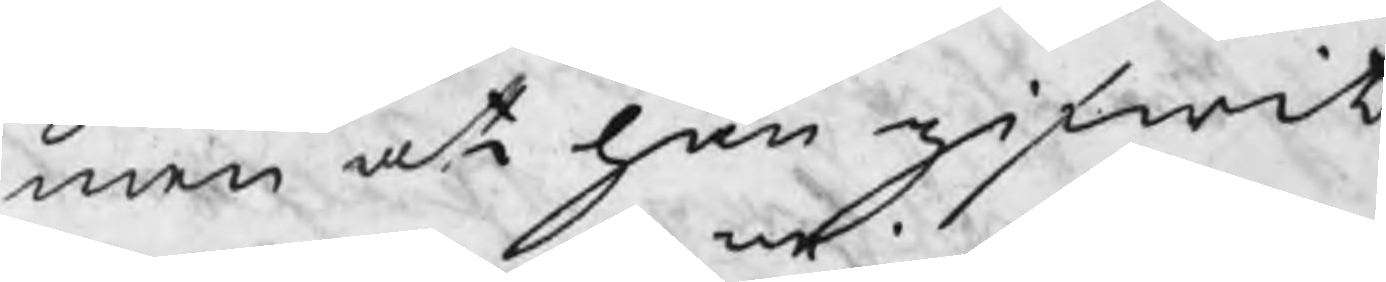men at han gifwit
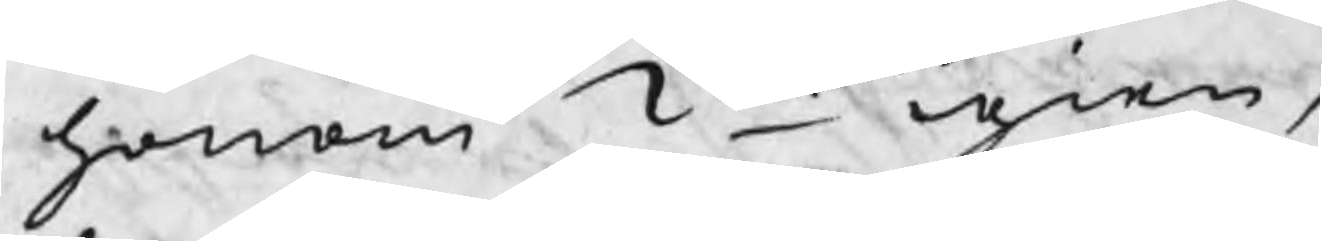honom 2ne igien,
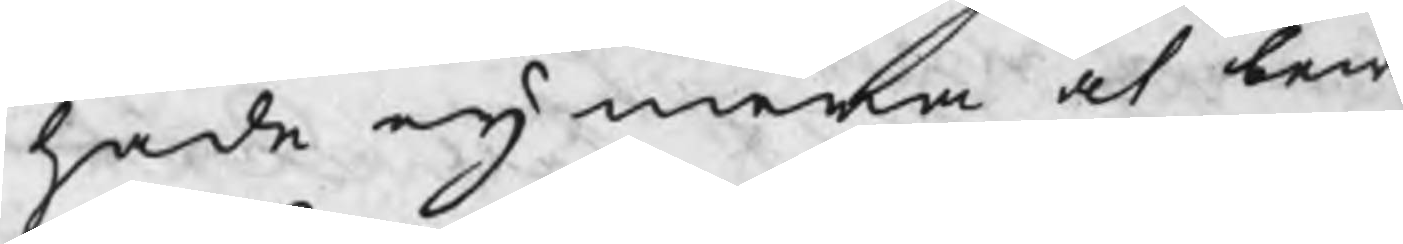hade eij mera at ber
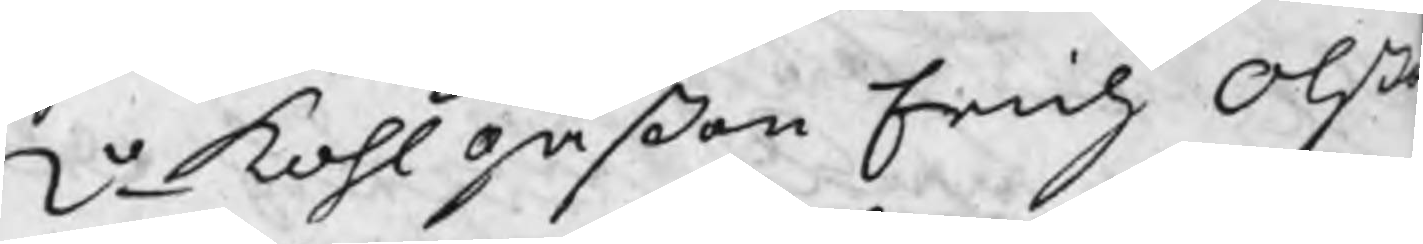2o kohlgåßen Erich Olß
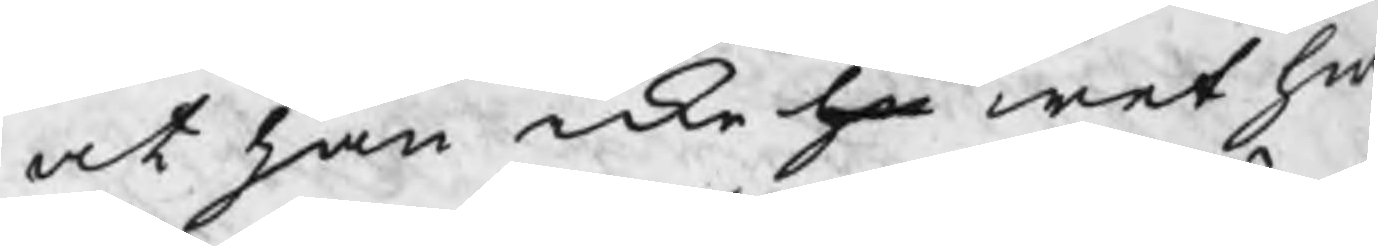at han icke ha wet hw
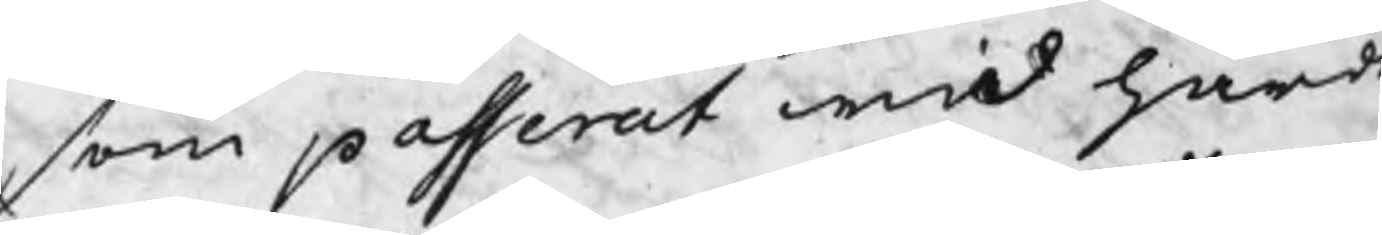som passerat wid härd
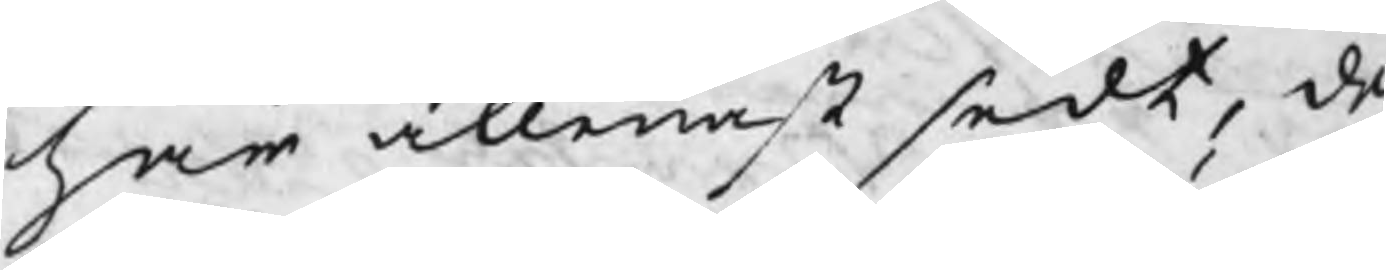har allenast sedt, de
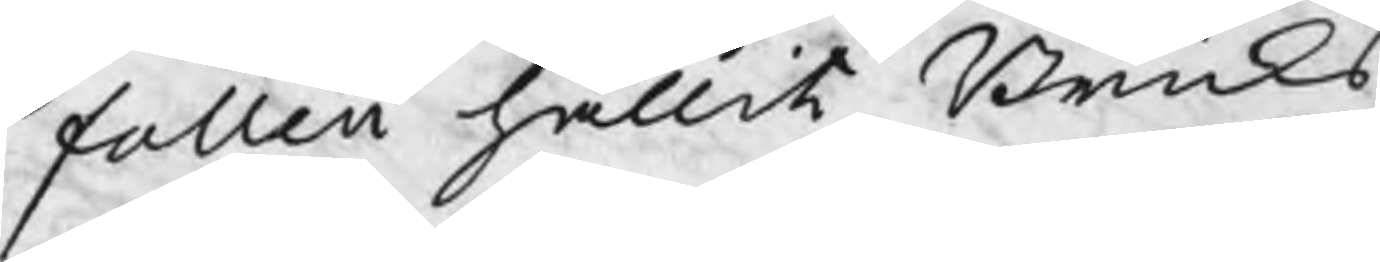falleii hållit Bruks
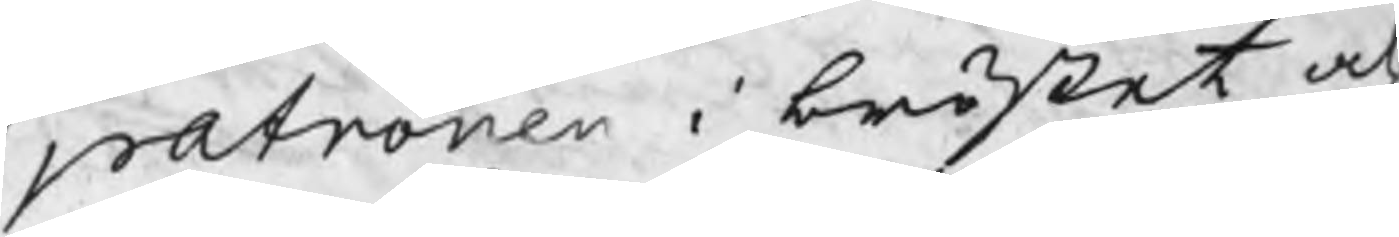patronen i bröstet och
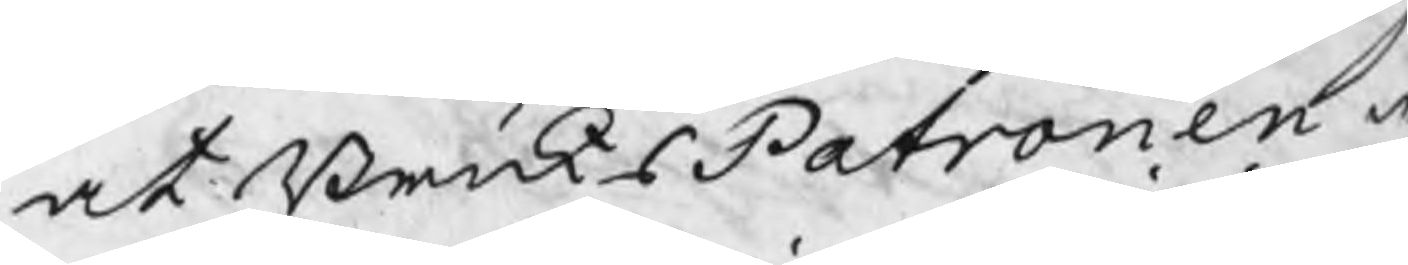at BruksPatronen w
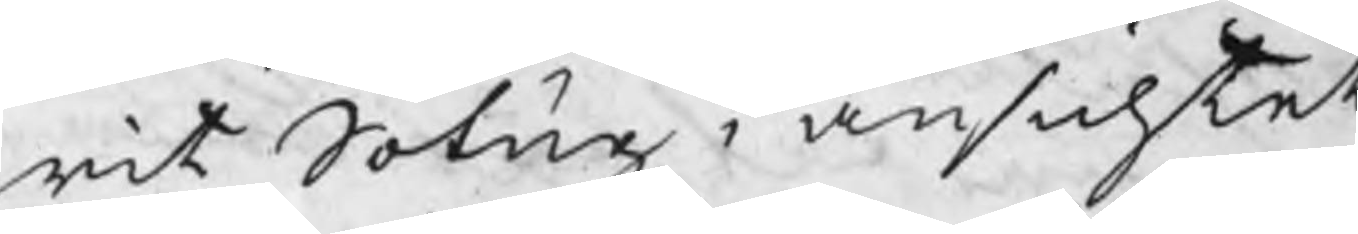rit Sotig i ansichtet
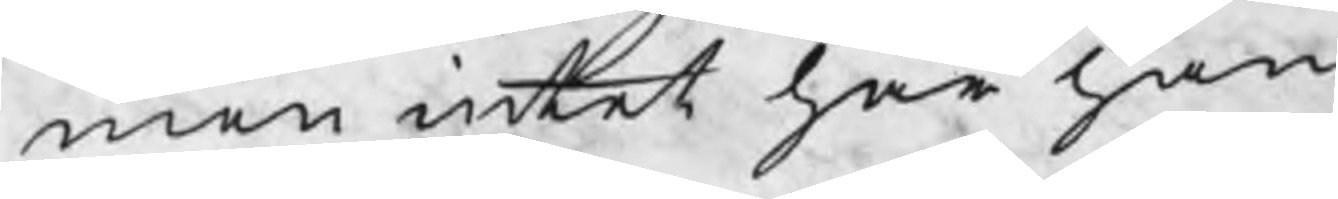men intet har han
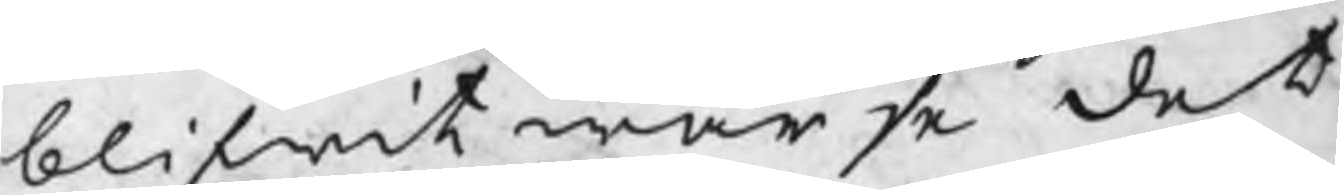blifwit warse det
